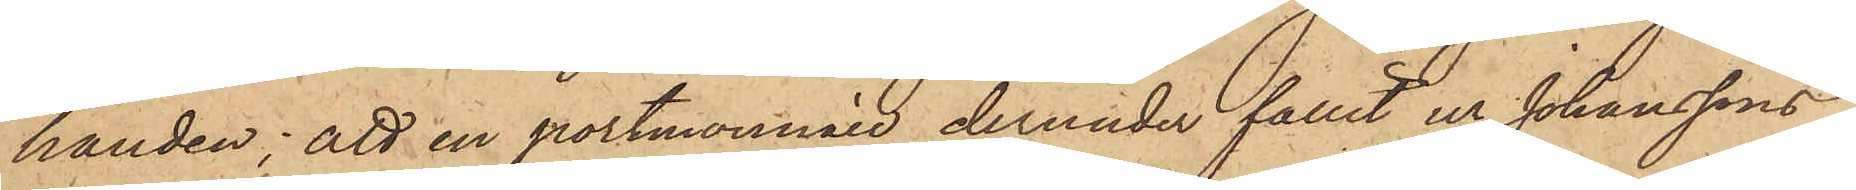handen; att en portmonnaie derunder fallit ur Johanssons
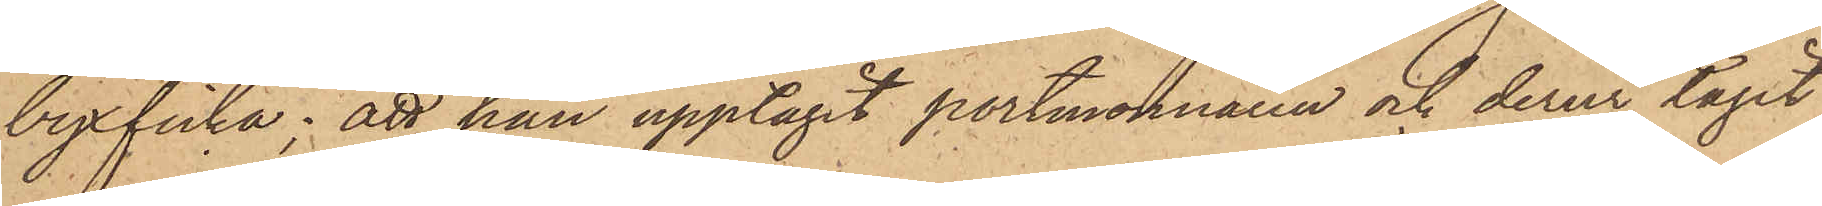byxficka; att han upptagit portmonnaien och derur tagit
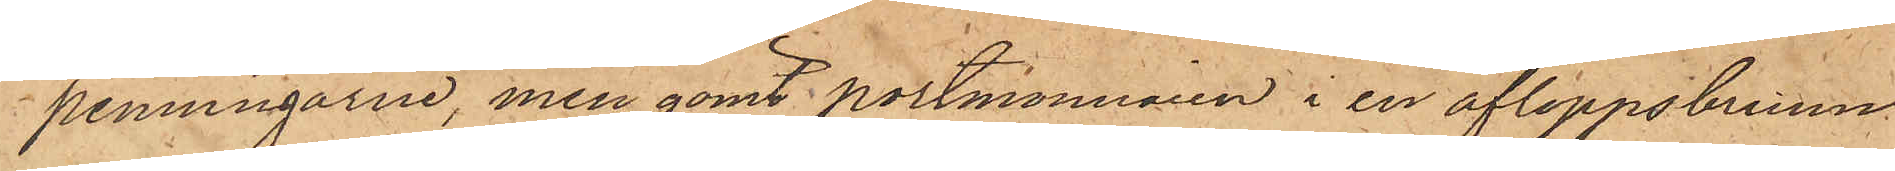penningarne, men gömt portmonnaien i en afloppsbrunn
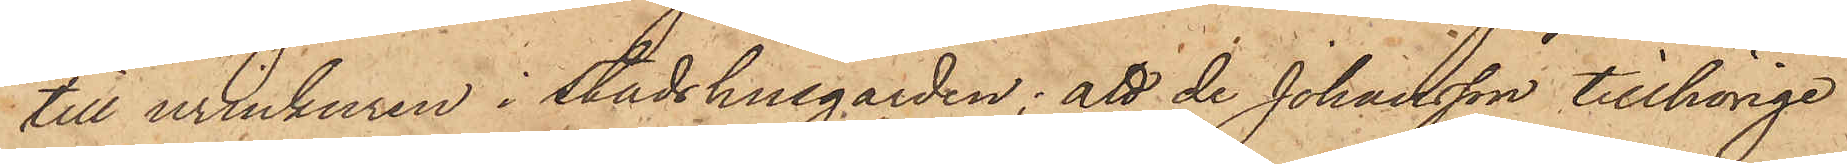till urinkuren i Stadshusgården; att de Johansson tillhörige
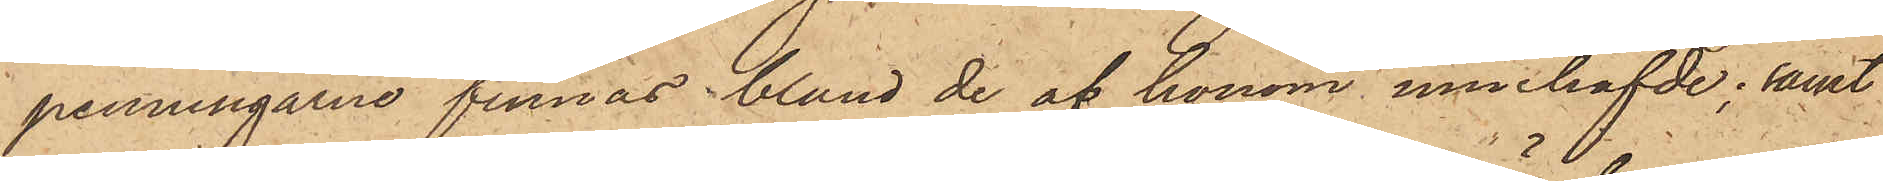penningarne finnas, bland de af honom innehafvde; samt
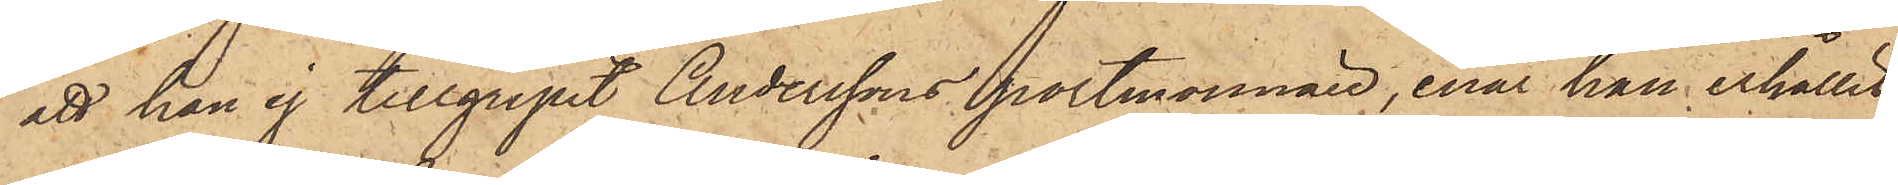att han ej tillgripit Anderssons portmonnaie, enär han erhållit
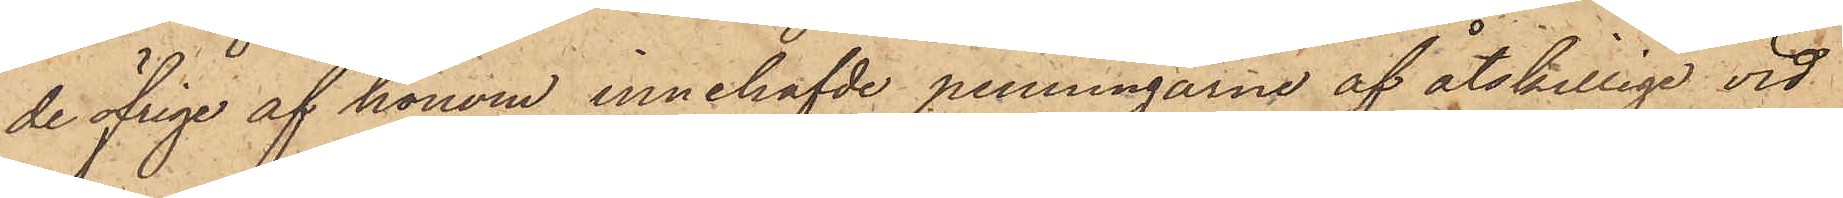de öfrige af honom innehafvde penningarne af åtskillige vid
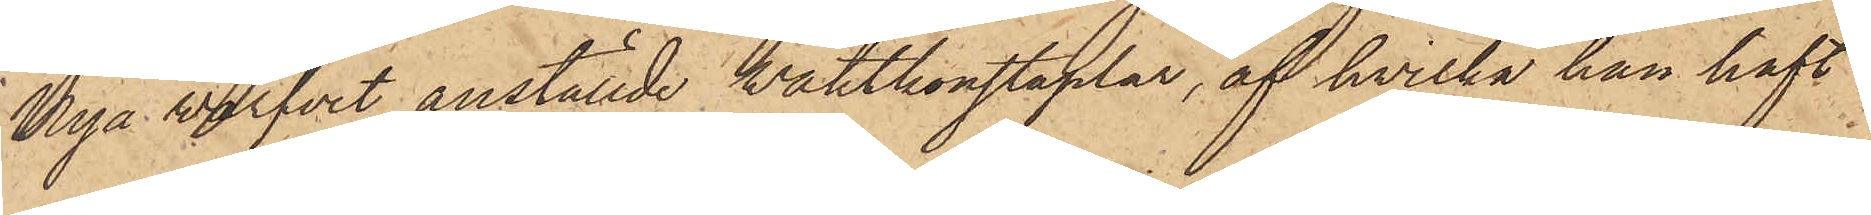Nya Warfvet anställde vaktkonstaplar, af hvilka han haft
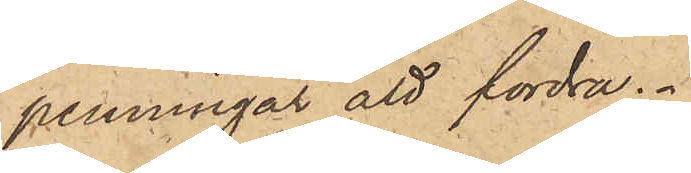penningar att fordra.
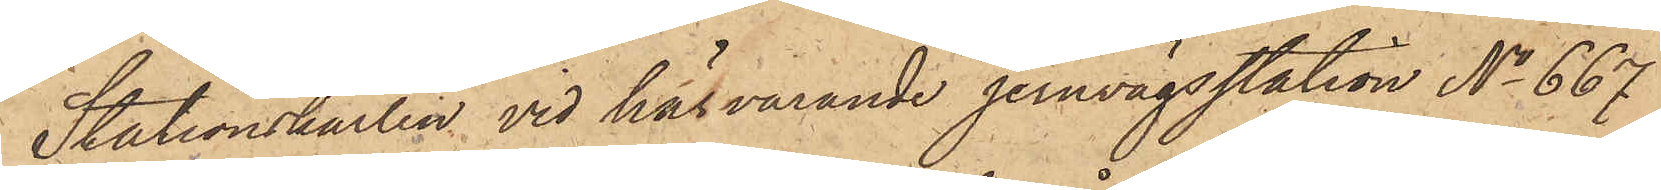Stationskarlen vid härvarande jernvägsstation No 667
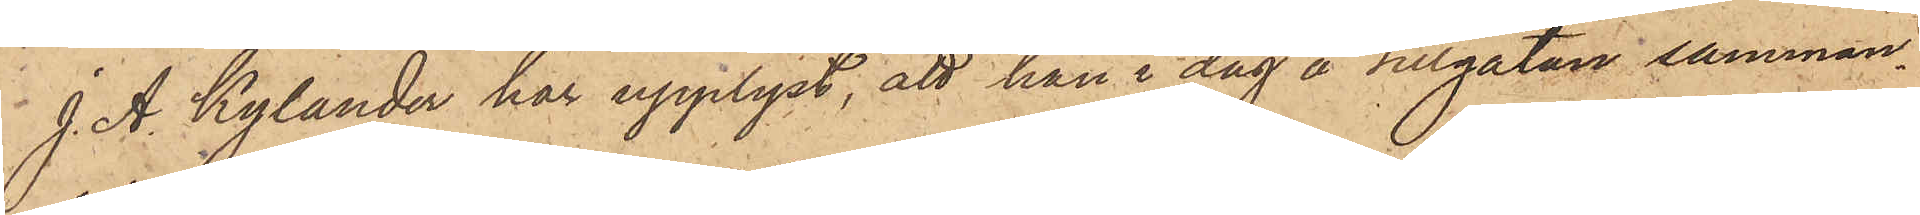J. A. Kylander har upplyst, att han i dag å Sillgatan samman¬
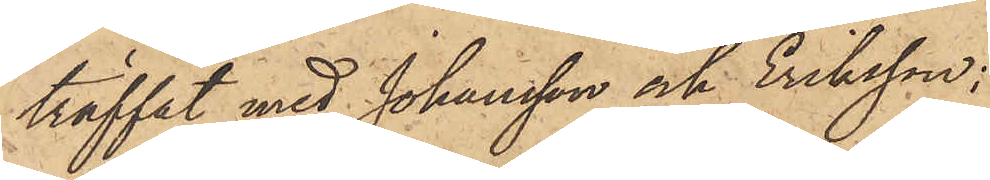träffat med Johansson och Eriksson:
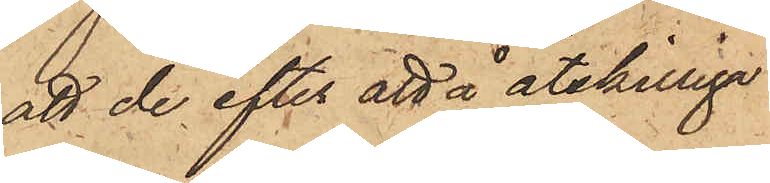att de efter att å åtskillige
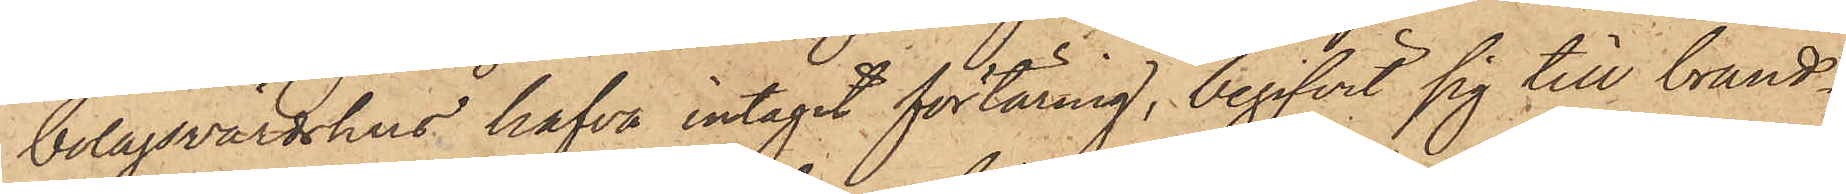bolagsvärdshus hafva intagit förtäring, begifvit sig till brand¬
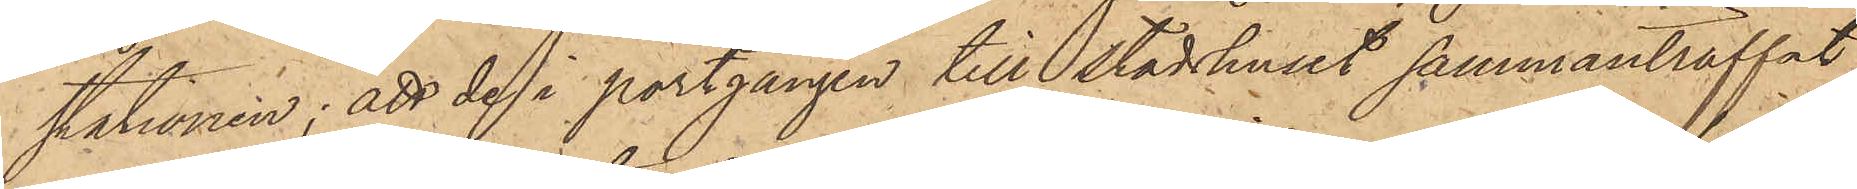stationen; att de i portgången till stadshuset sammanträffat
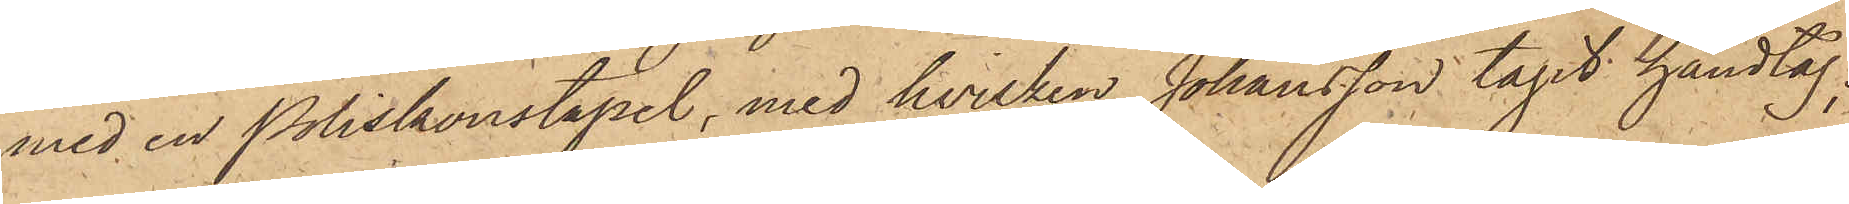med en Poliskonstapel, med hvilken Johansson tagit handtag;
